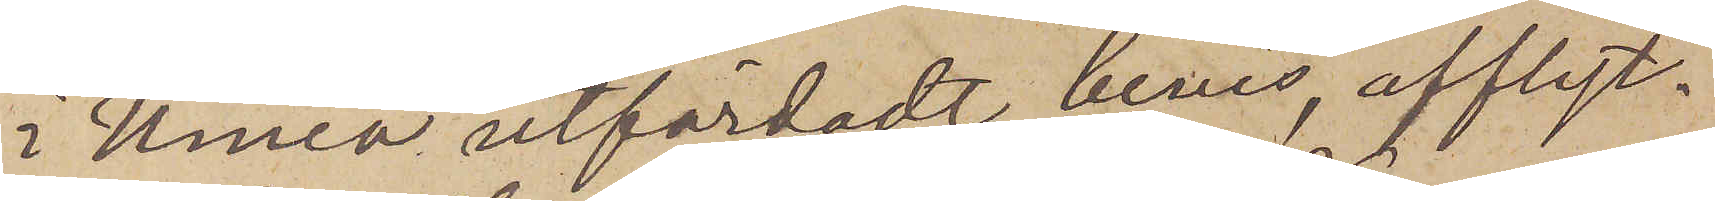i Umeå utfärdadt bevis, afflyt¬
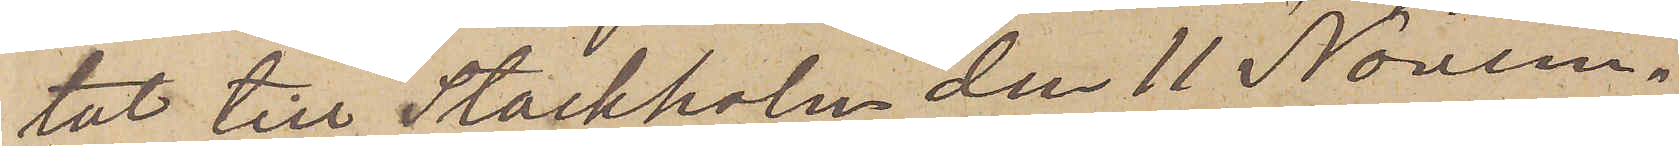tat till Stockholm den 11 Novem¬
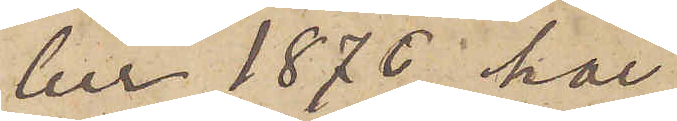ber 1876, har
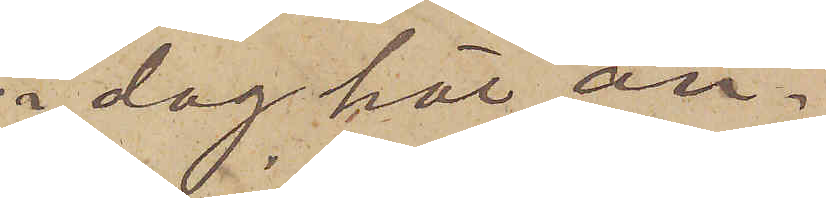i dag här an¬
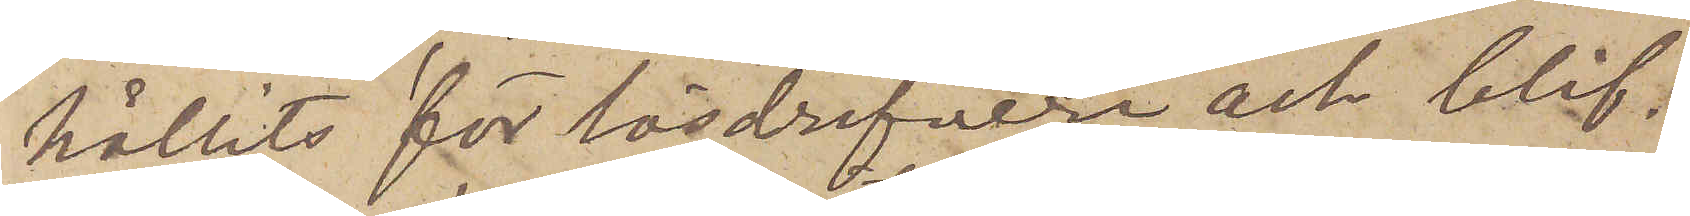hållits för lösdrifveri och blif¬
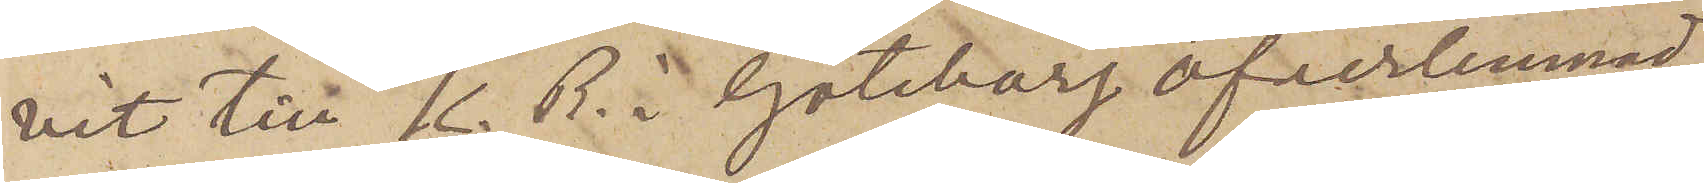vit till K. B. i Göteborg öfverlemnad.
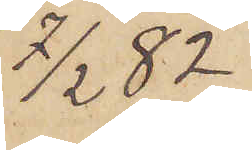7/2  82
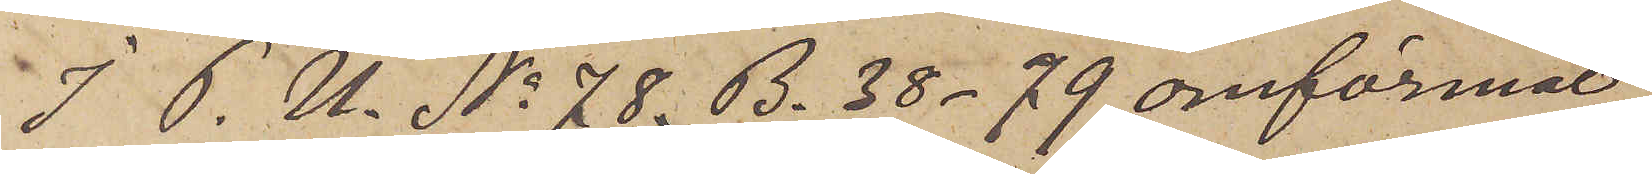I P. U. No 78. B. 38 -79 omförmäl¬
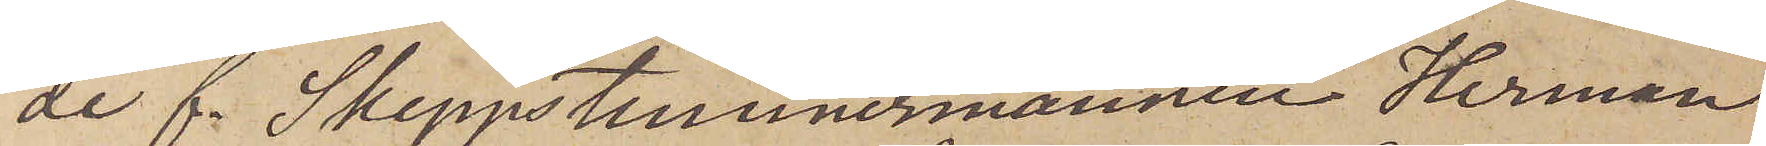de f. Skeppstimmermannen Herman
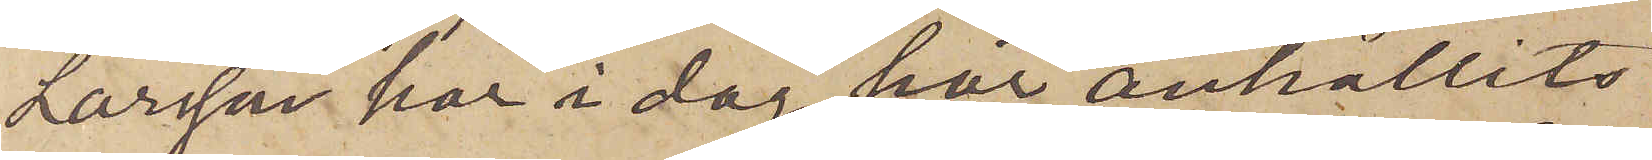Larsson har i dag har anhållits
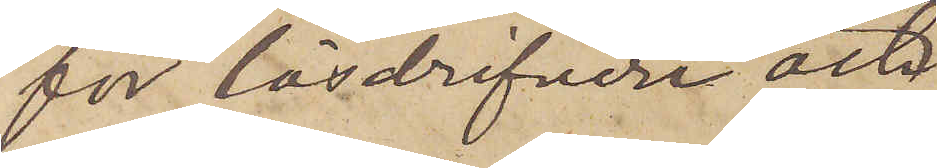för lösdrifveri och
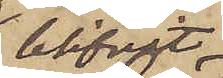blifvit
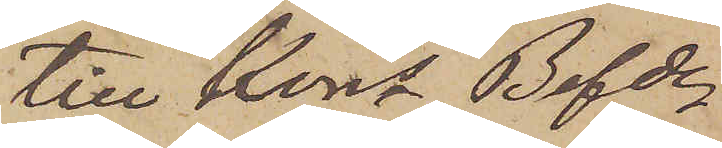till Kons Befde
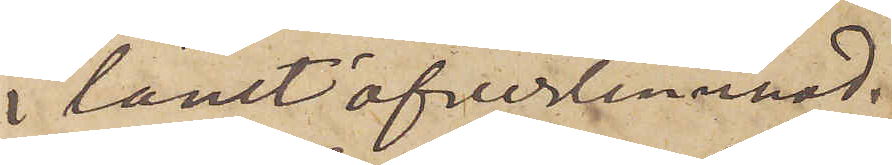i länet öfverlemnad.
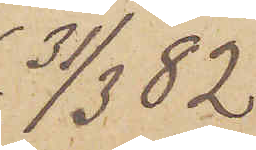31/3 82
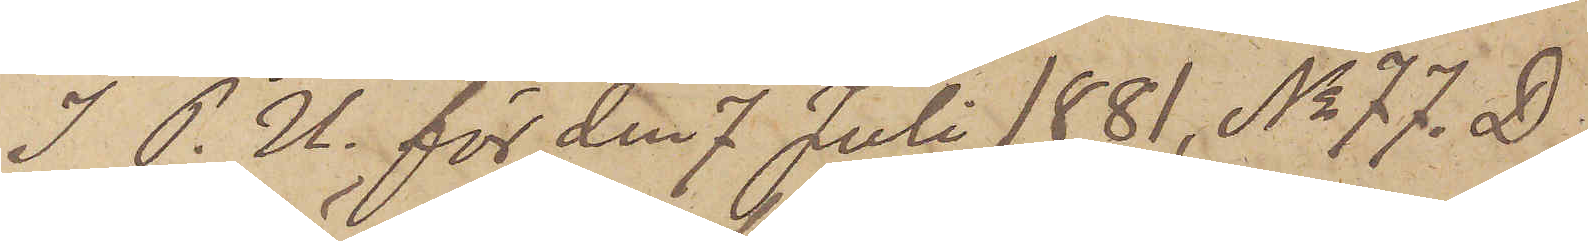I P.U. för den 7 Juli 1881, No 77. D.
